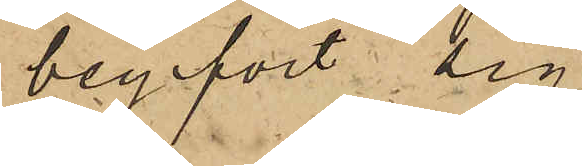begifvit sig
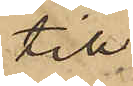till
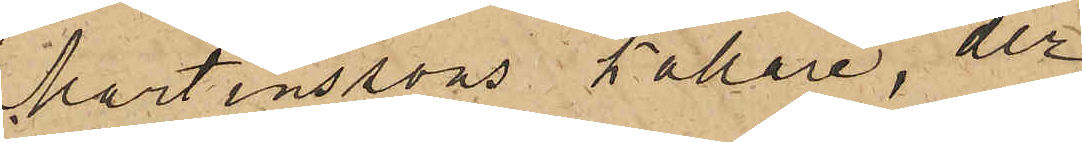Martinssons källare, der
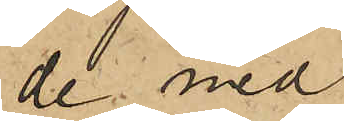de med
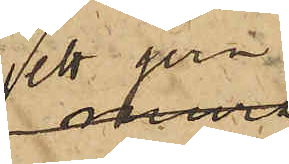ett jern
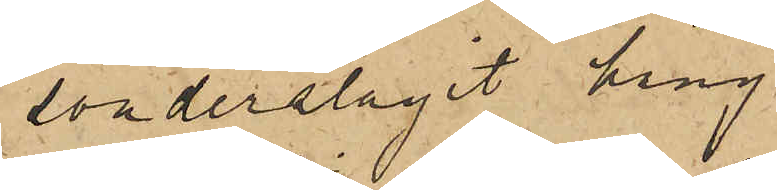sönderslagit häng¬
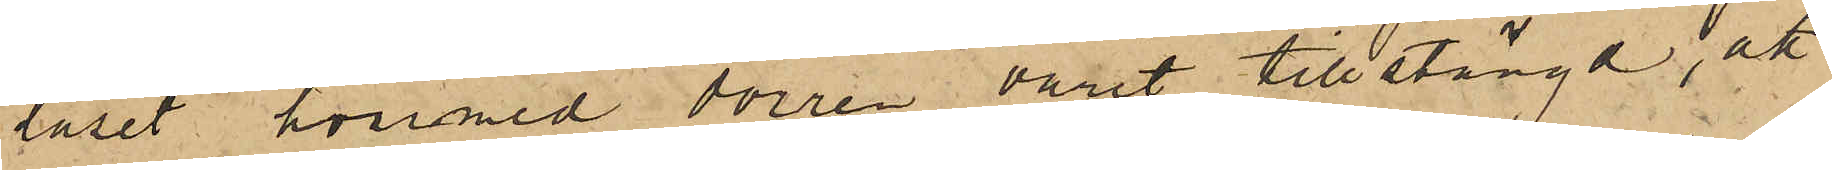låset, hvarmed dörren varit tillstängd, att
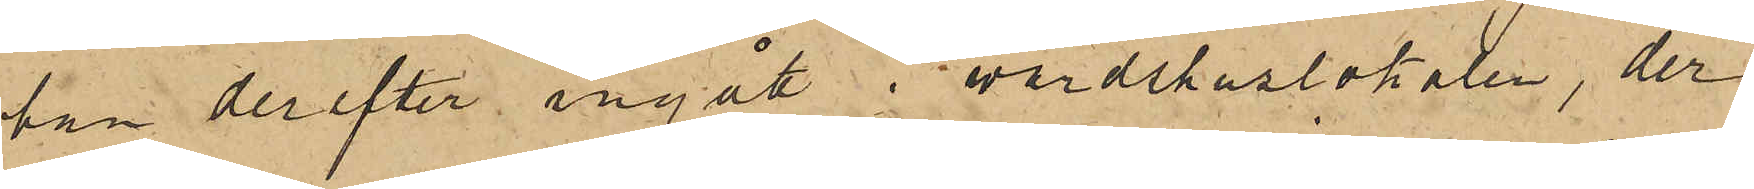han derefter ingått i värdshuslokalen, der
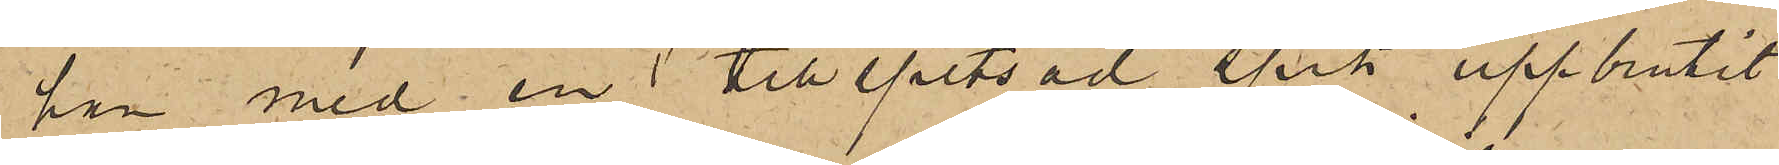han med en tillspetsad spik uppbrutit
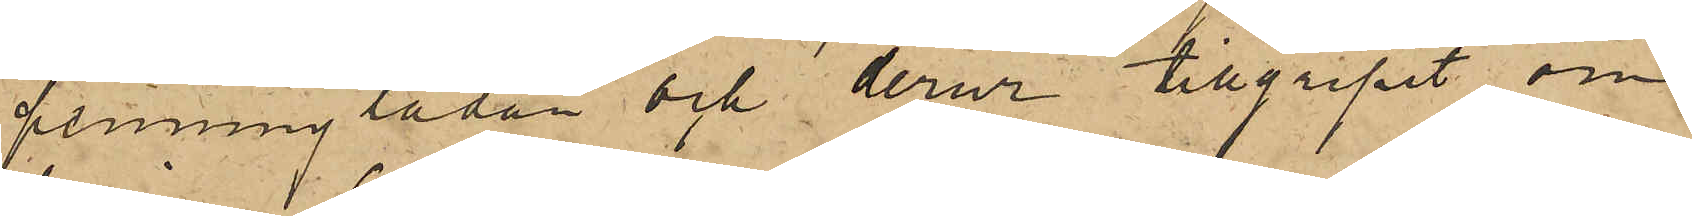penninglådan och derur tillgripit om¬
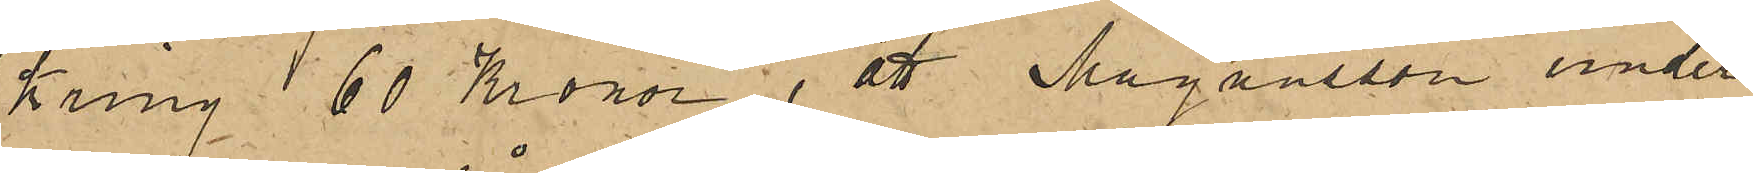kring 60 Kronor; att Magnusson under
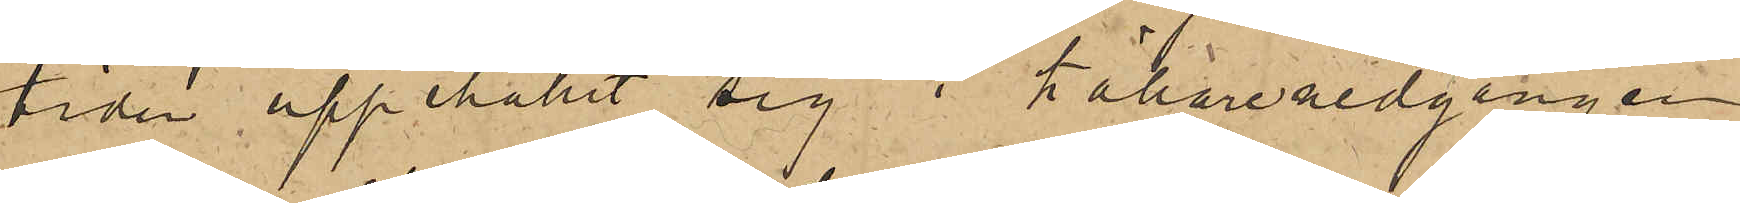tiden uppehållit sig i källarenedgången
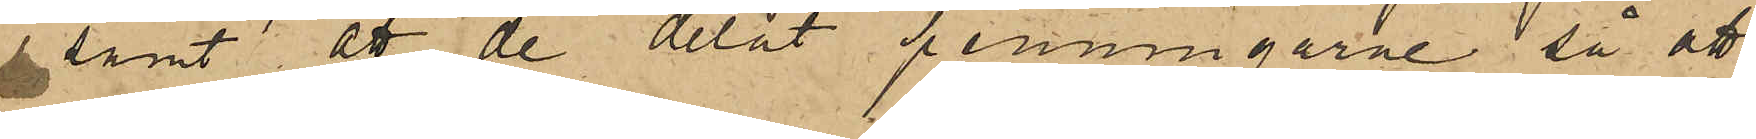samt att de delat penningarne, så att
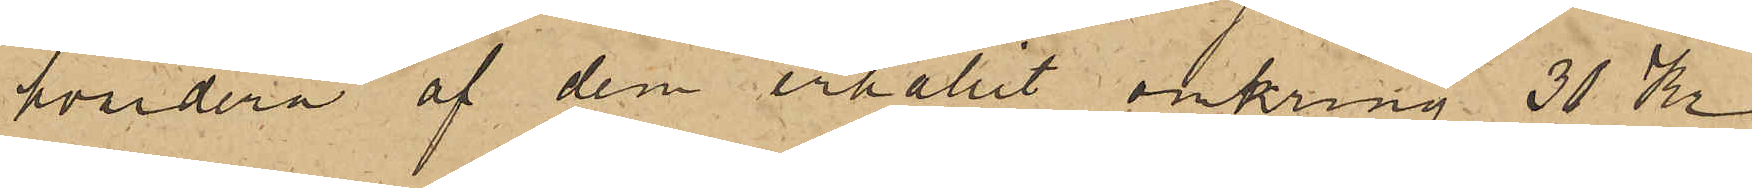hvardera af dem erhållit omkring 30 Kr.
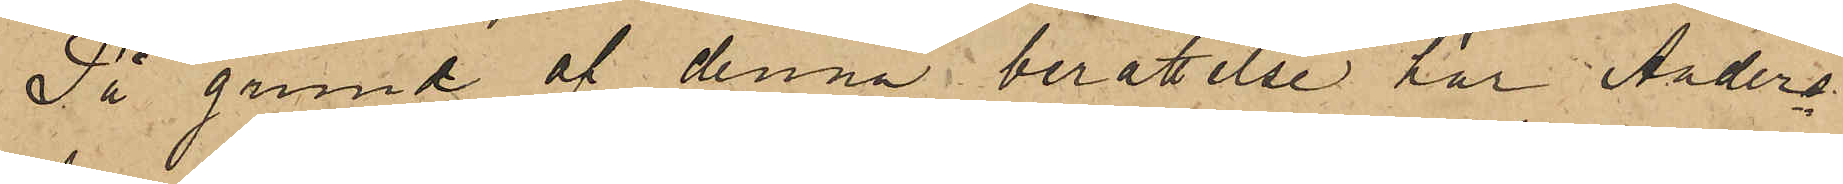På grund af denna berättelse har Anders¬
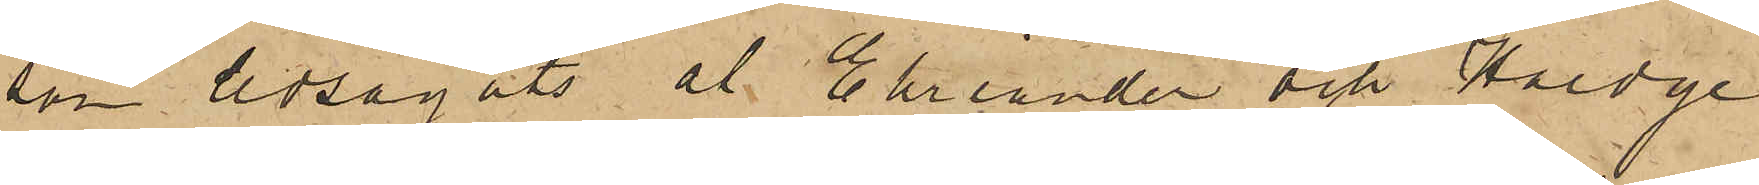son ledsagats af Ehriander och Haedge
